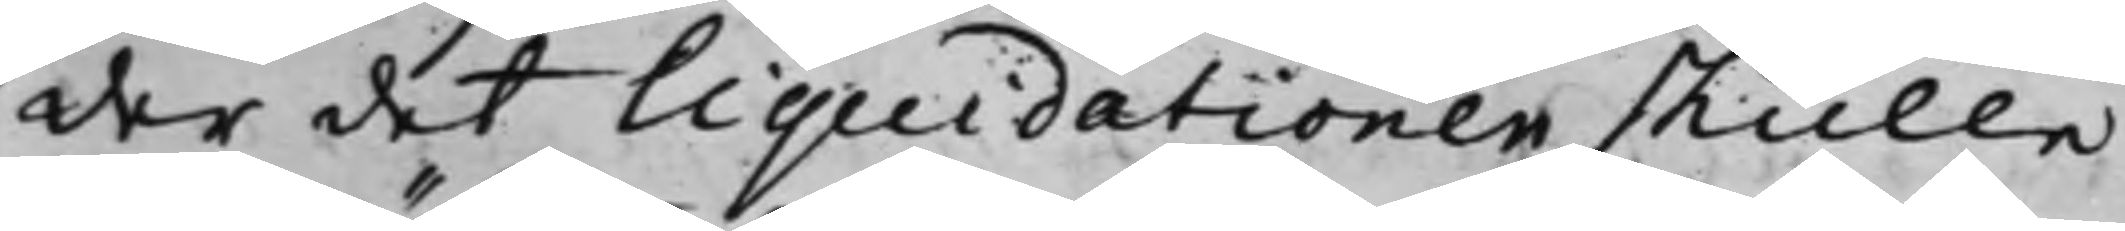der det liquidationen skulle
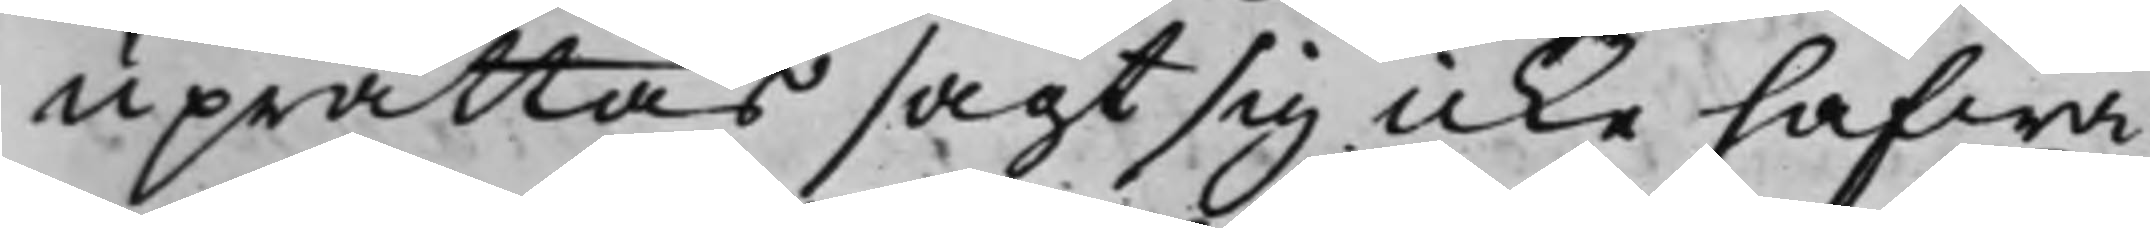uprättas sagt sig icke hafwa
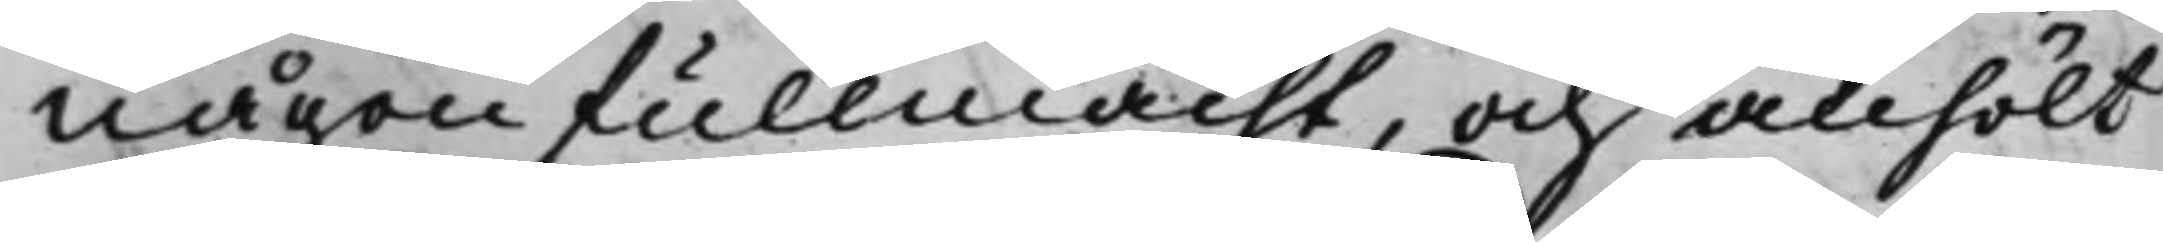någon fullmacht, och anhölt
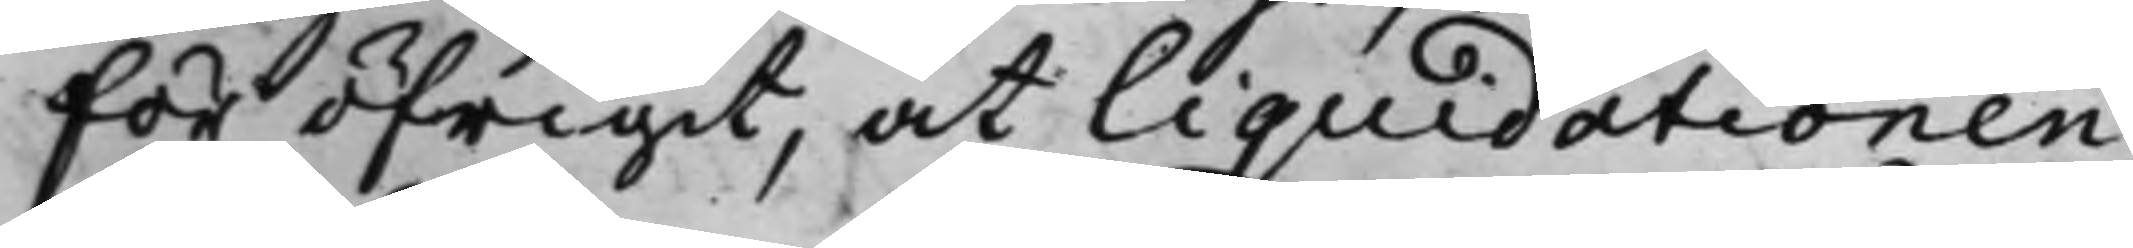för öfrigit, at liquidationen
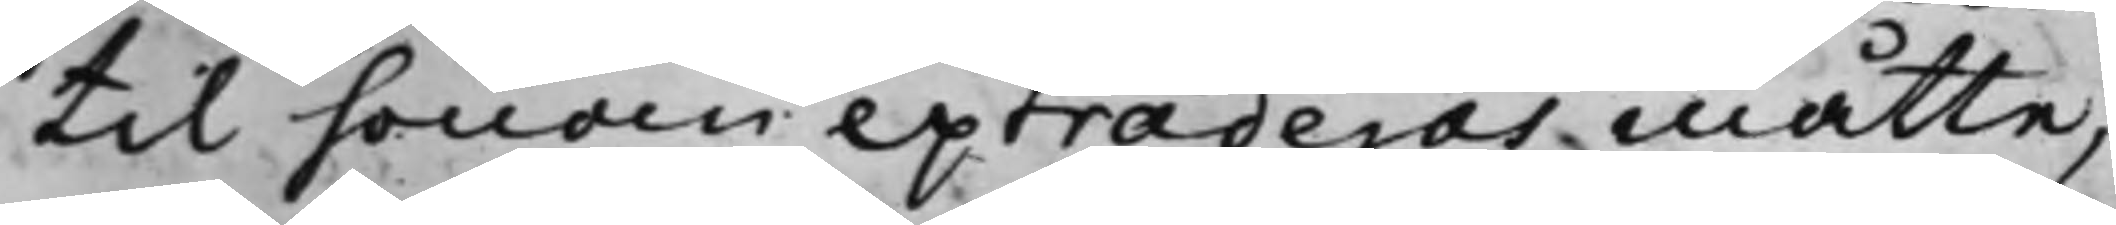till honom extraderas måtte,
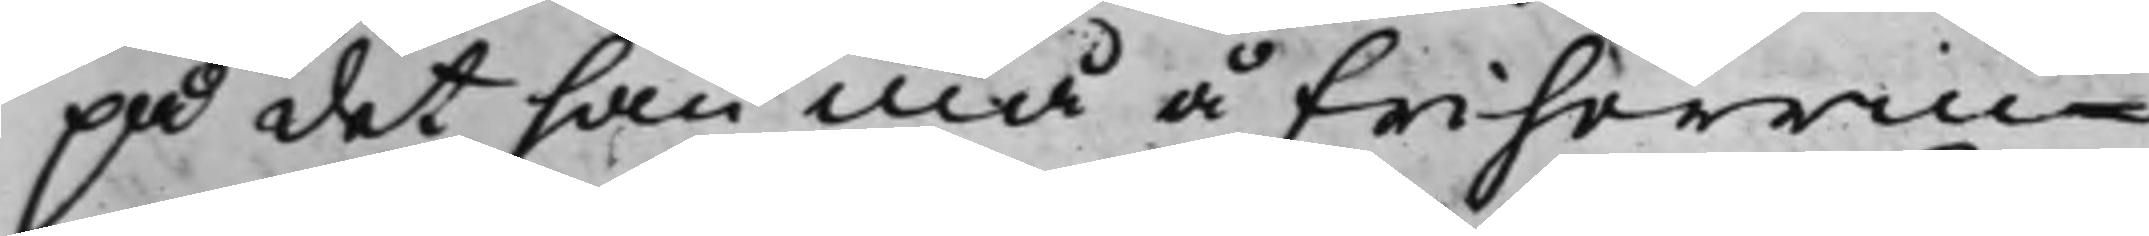på det han må å Friherrin¬
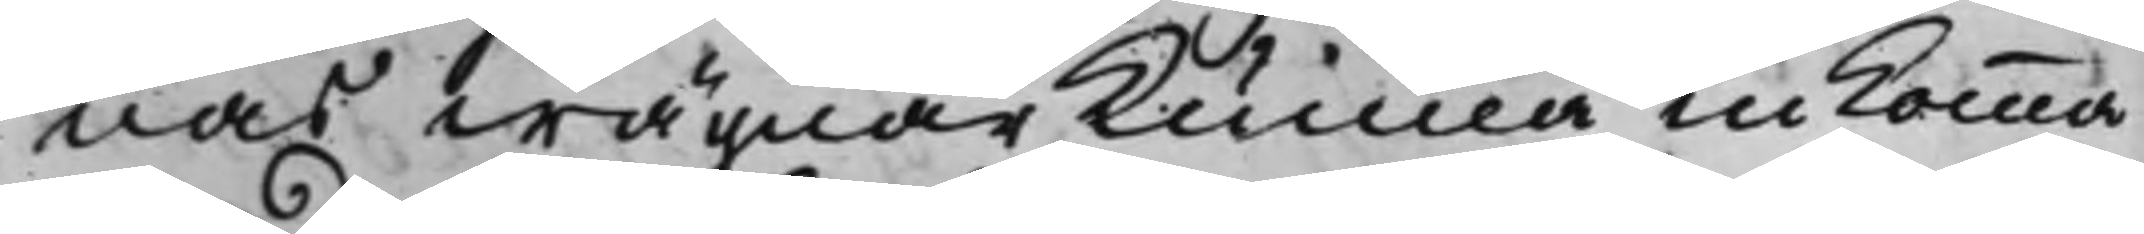nas wägnar kunna inkomma
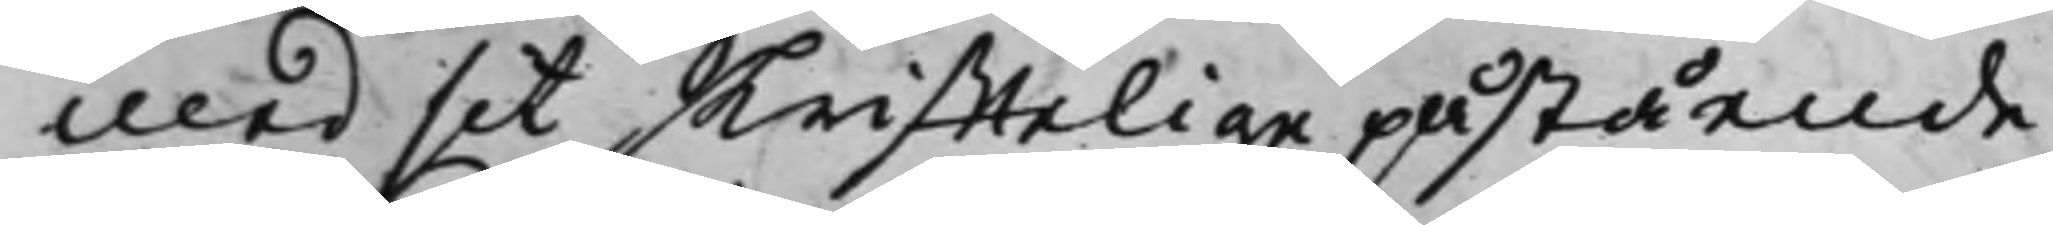med sit skrifftelige påstående,
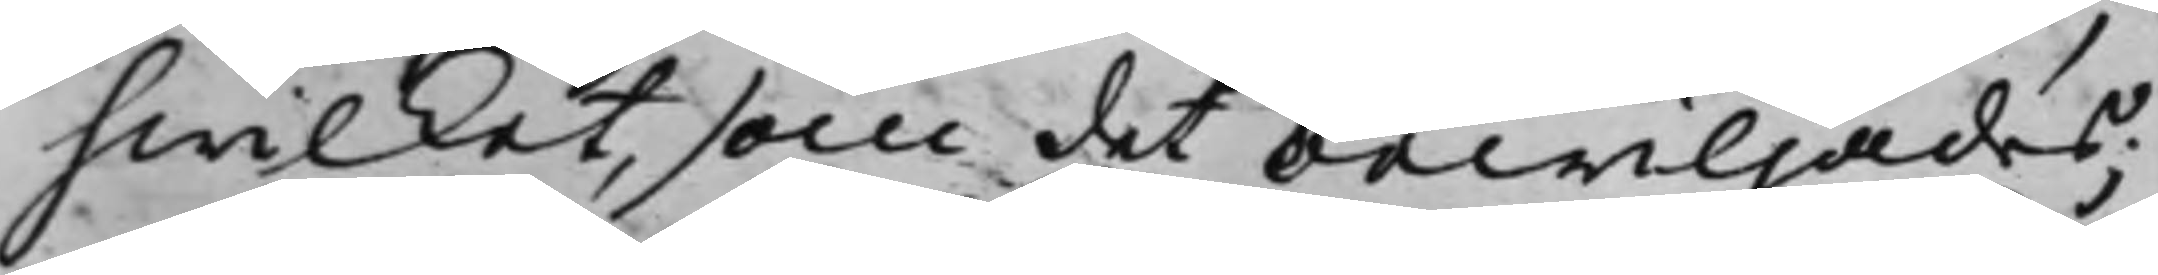hwilket, som det bewiljades;
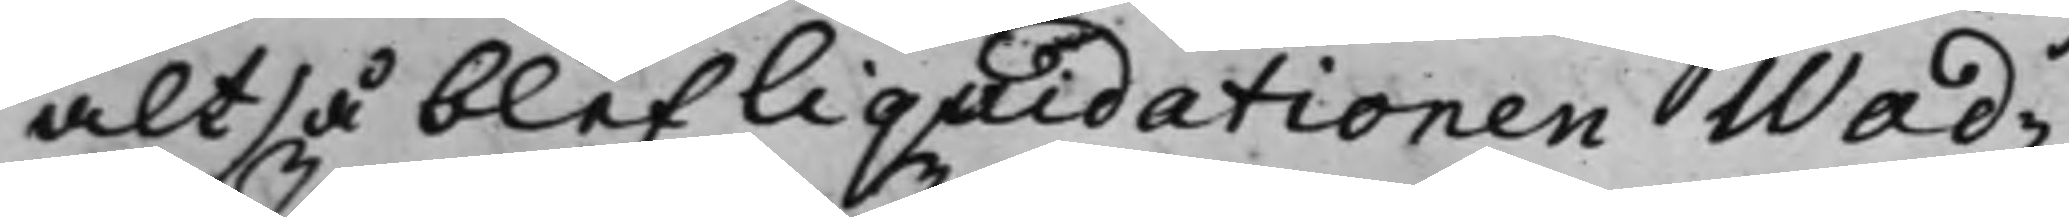altså blef liquidationen Wad¬
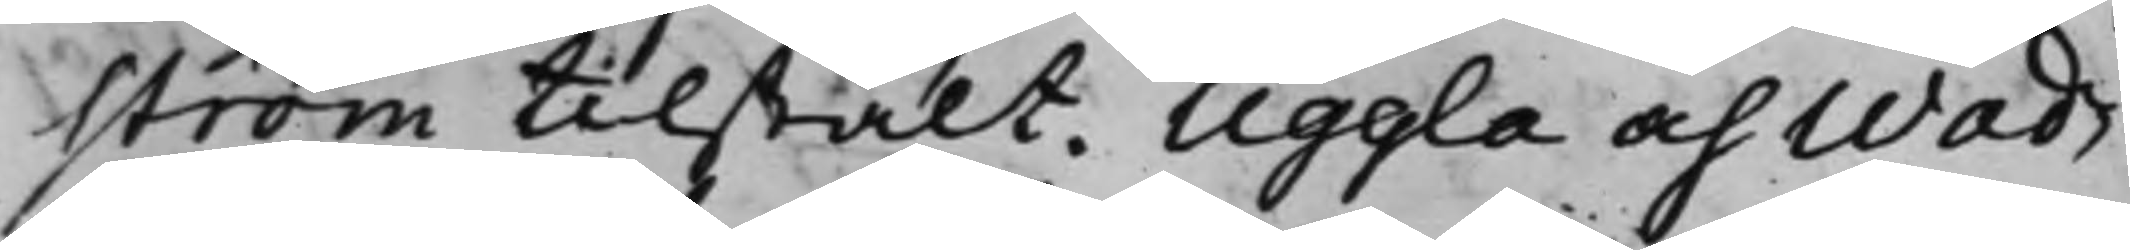ström tillstält. Uggla och Wad¬
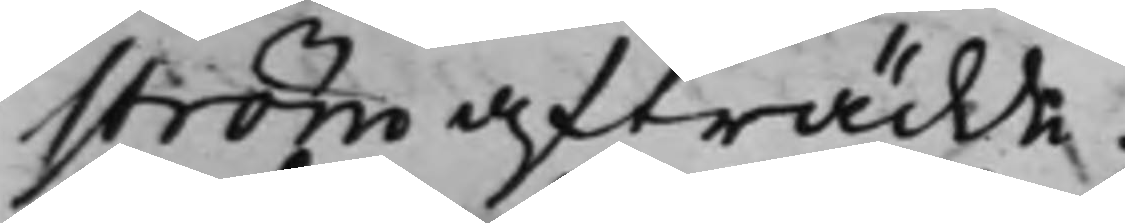ström afträdde.
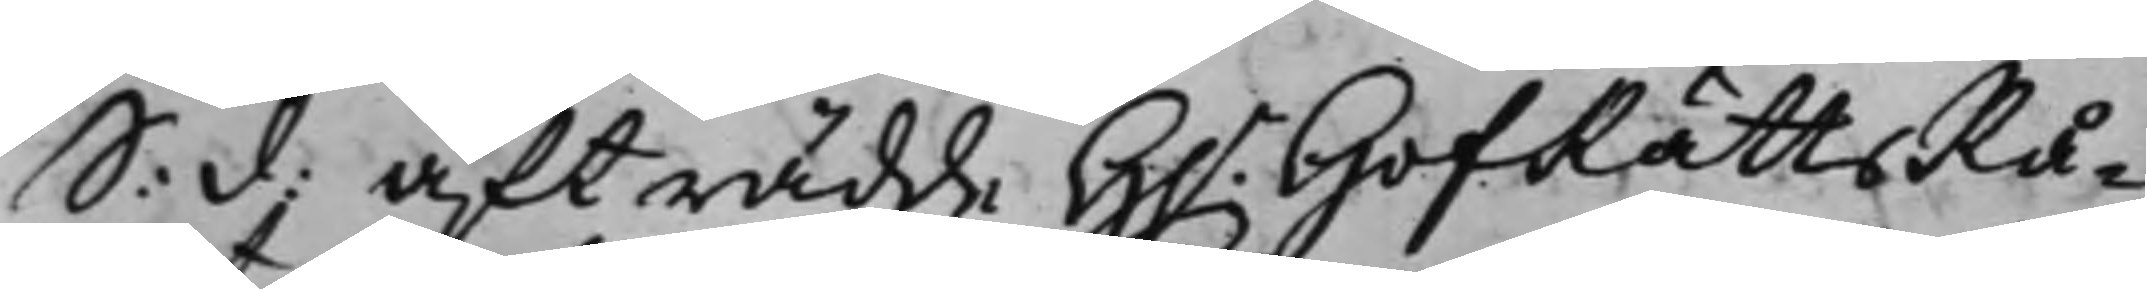S: d: Afträdde H.r HofRättsRå¬
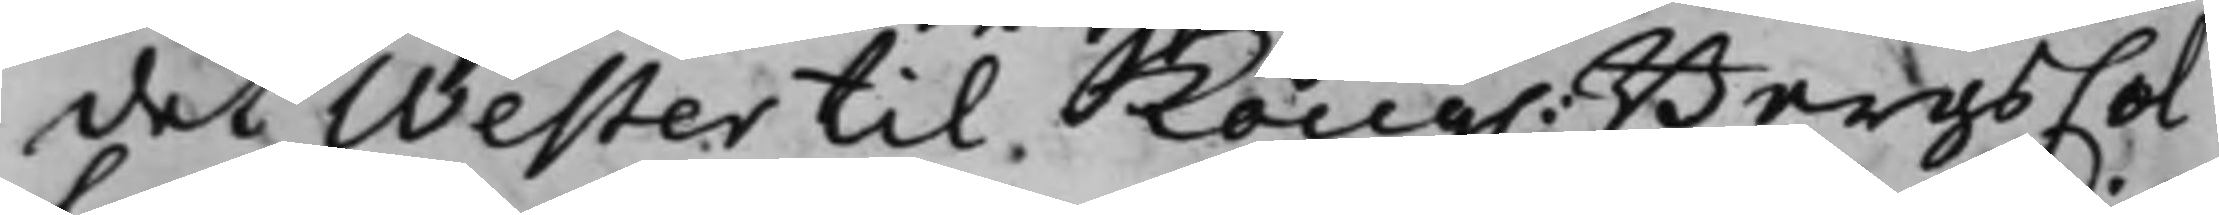det Wester til Kong. BergsCol¬
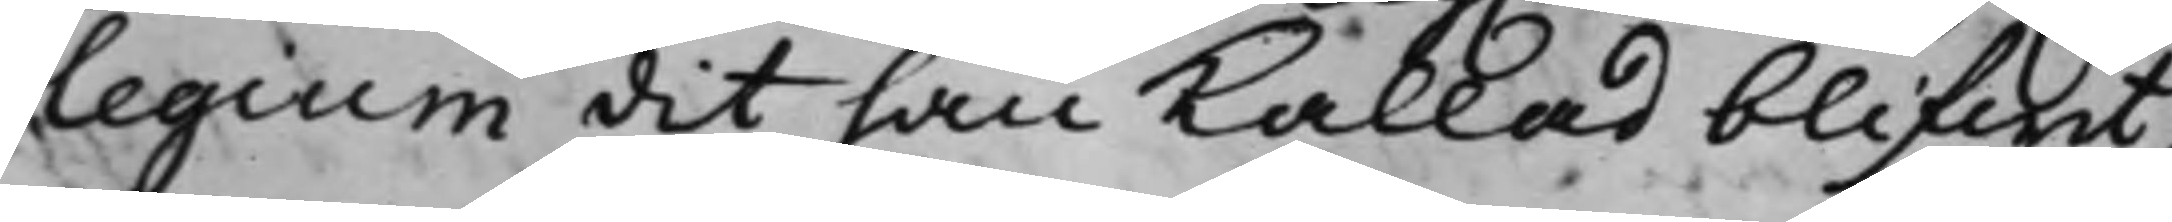legium dit han kallad blifwit,
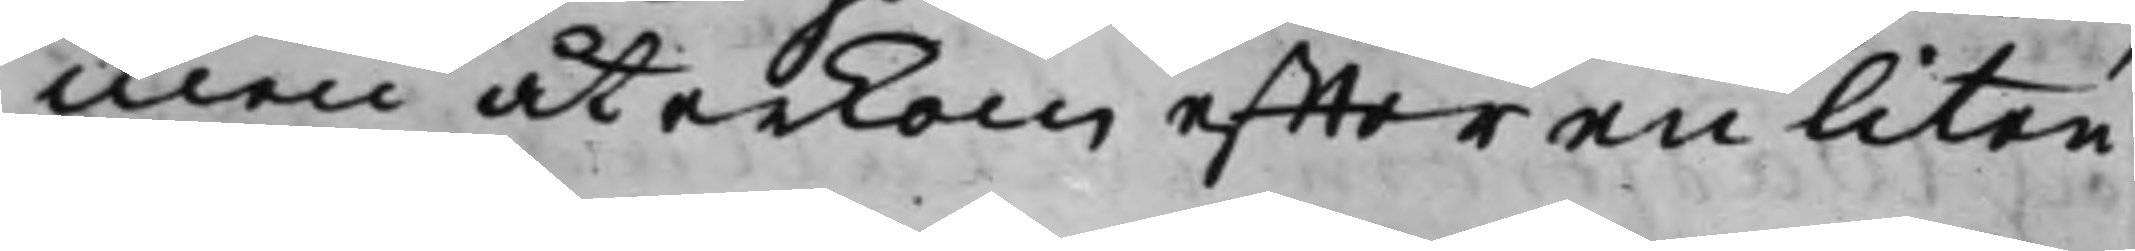men återkom effter en liten
